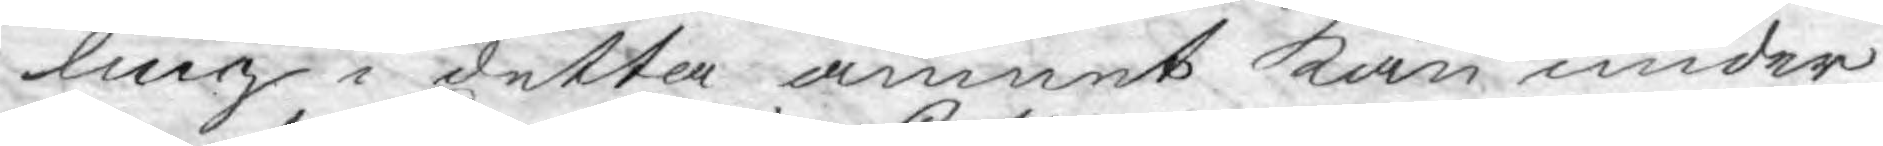ling i detta ämnet kan under
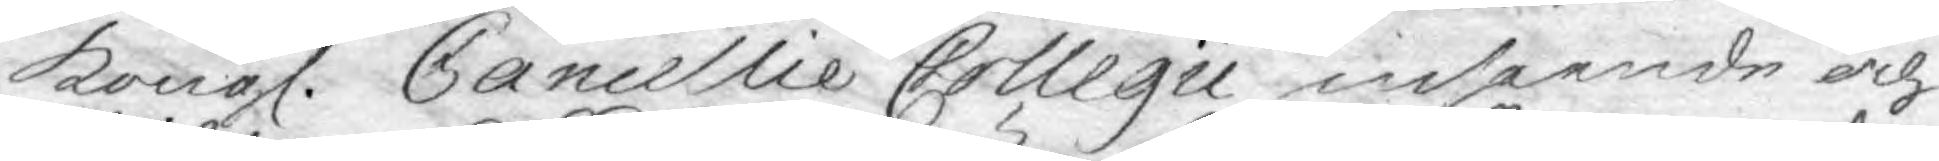Kongl. Cancellie Collegii inseende och
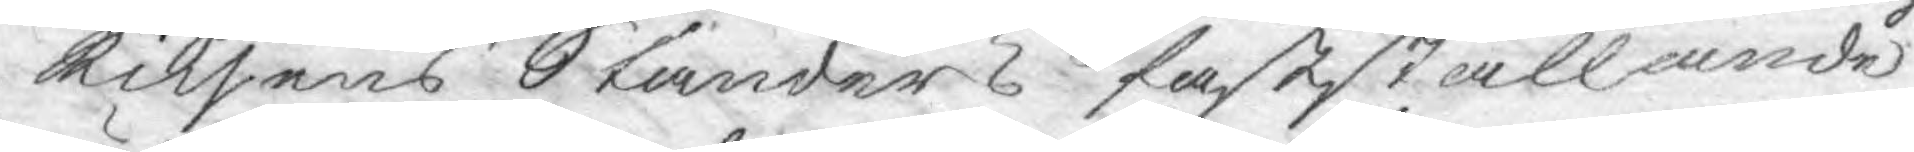Riksens Ständers fastställande
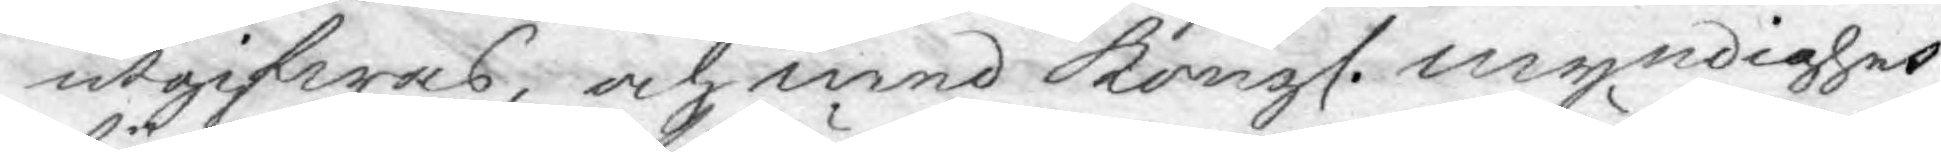utgifwas, och med Kongl. myndighet
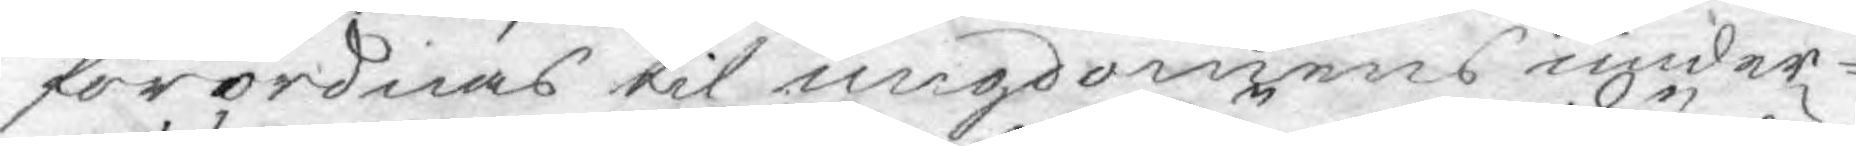förordnas til ungdomens under¬
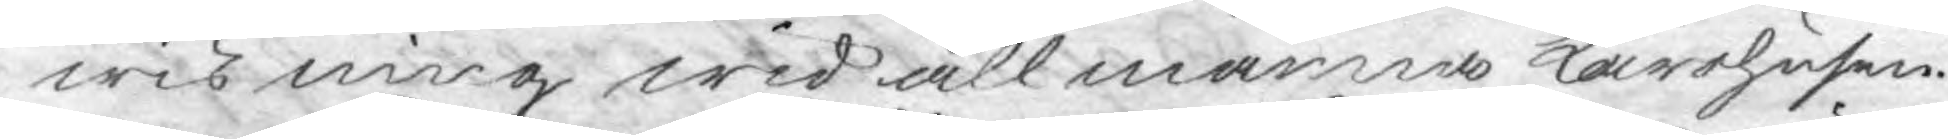wisning wid allmänna Lärohusen.
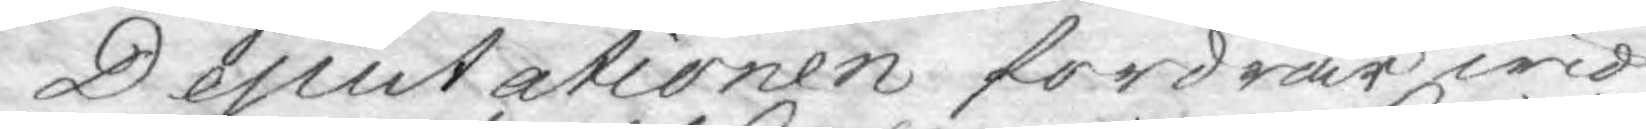Deputationen fordrar wid
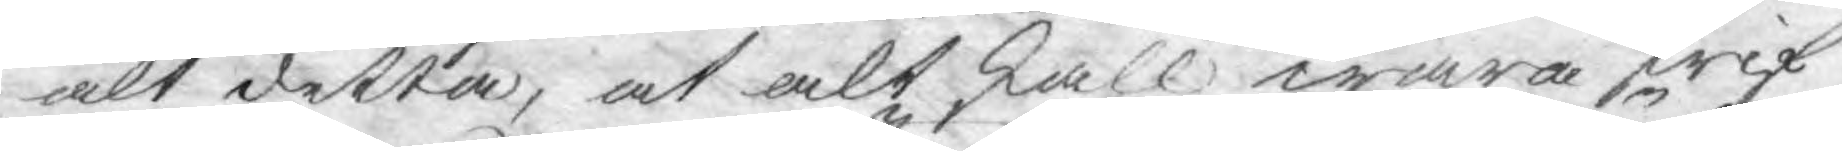alt detta, at alt skall wara skrif¬
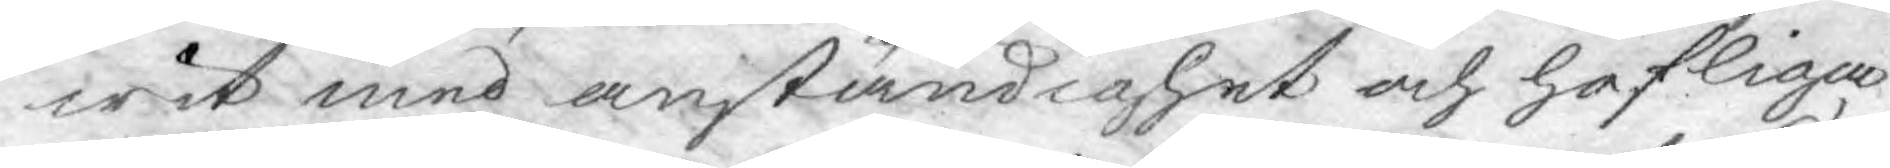wit med anständighet och höfliga
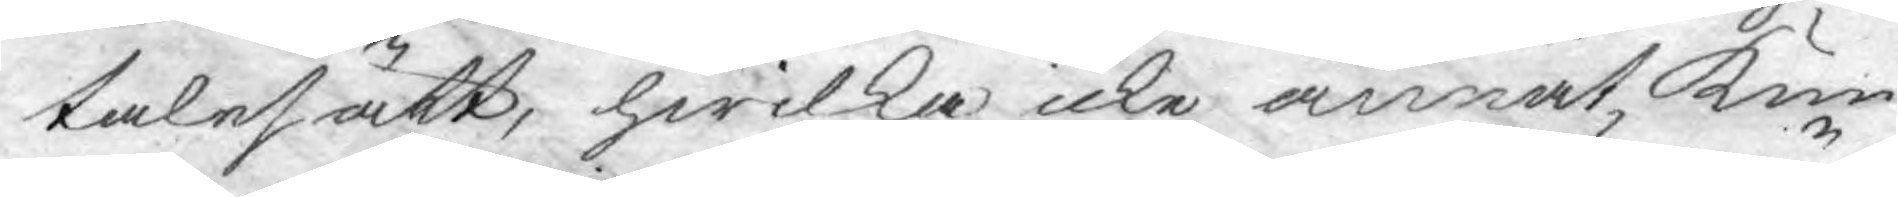talesätt, hwilka icke annat kun
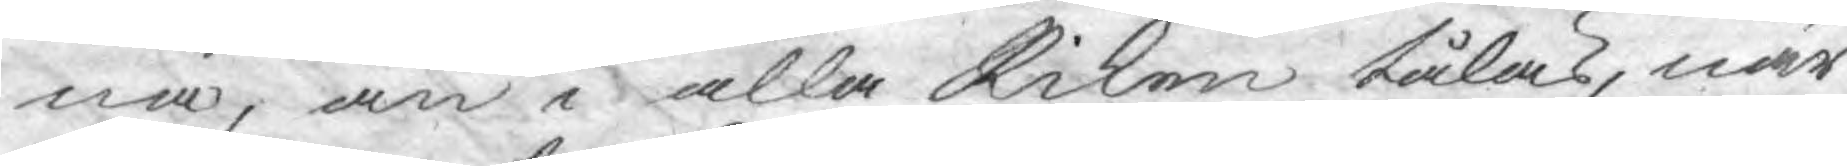na, än i alla Riken tålas, när
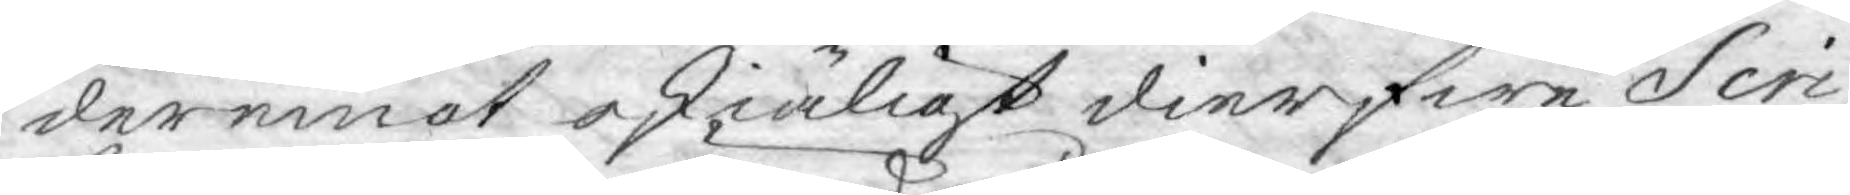deremot oskiäligt dierfwe Scri¬
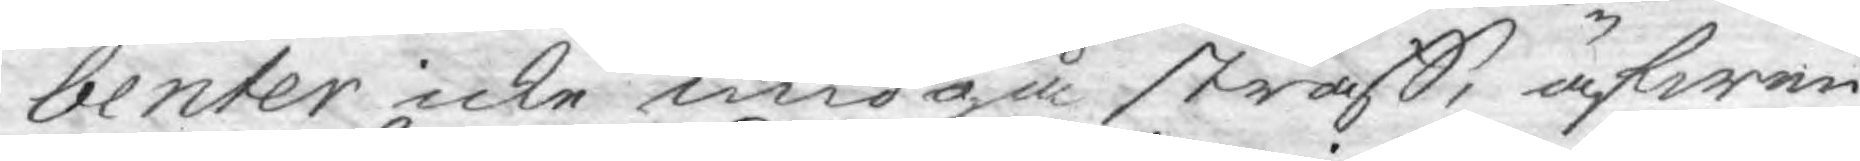benter icke undgå straff, äfwen
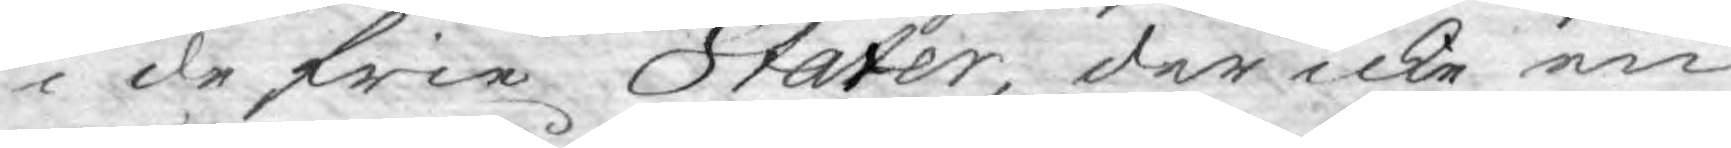i de frie Stater, der icke en
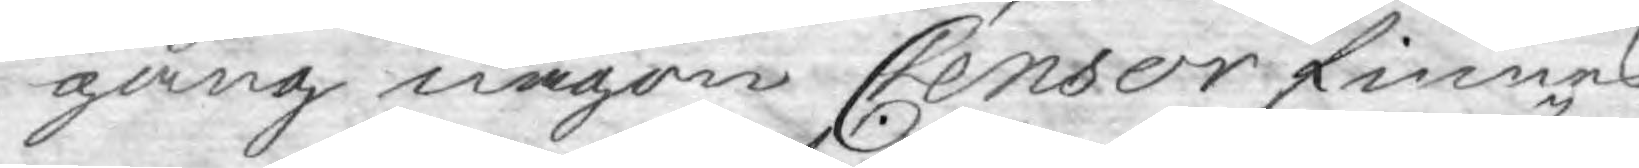gång någon Censor finnes.
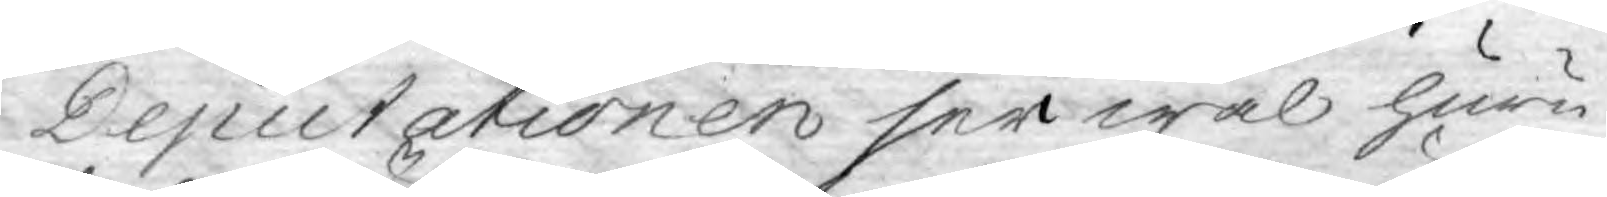Deputationen ser wäl huru
